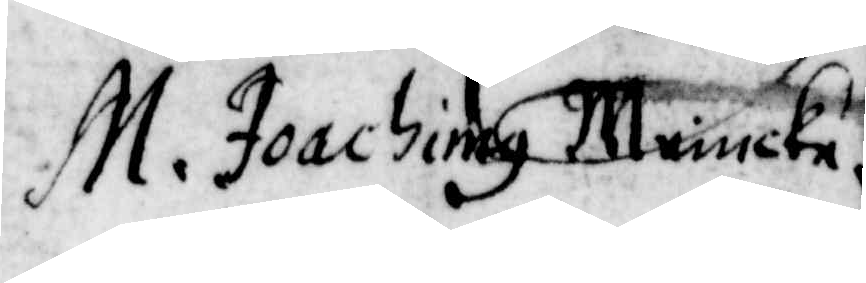M. Joachimg Meiucke
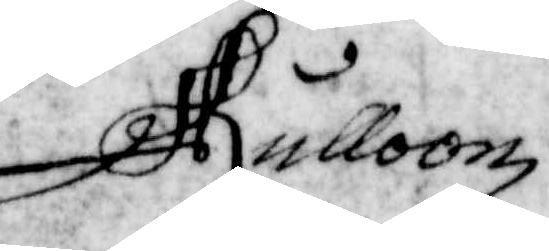Rulloonz
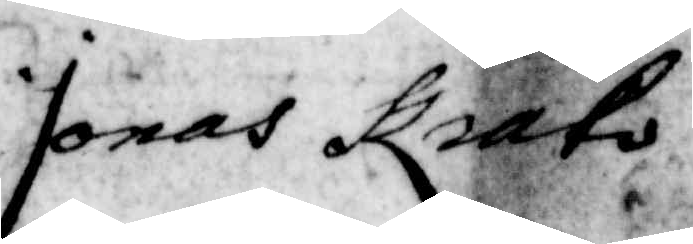Jonas Krato
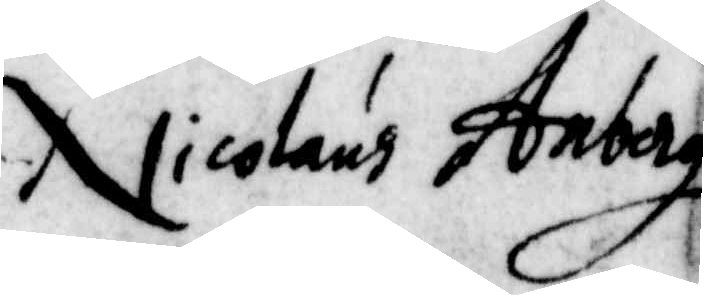Nicolaus Anberg
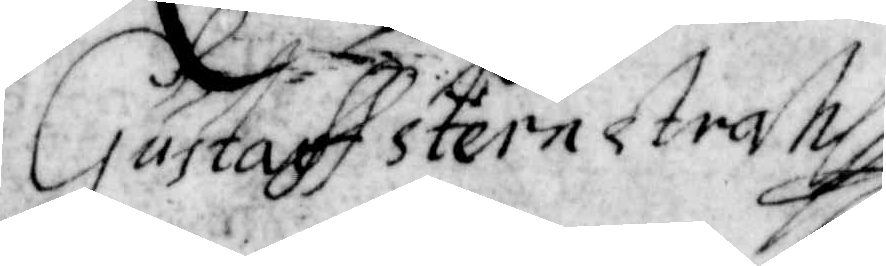Gustaff Stiernstrahl
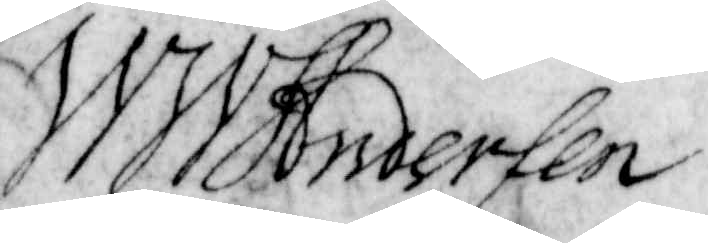W W Hnoersen
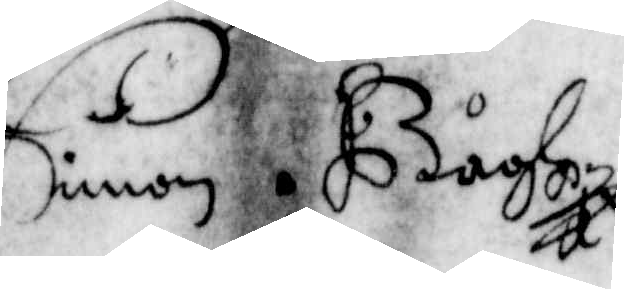Simon Båoson
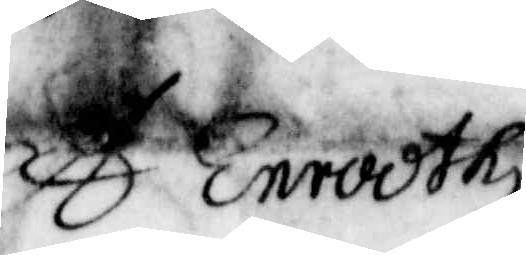A Enrodth
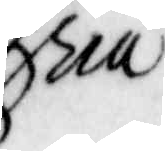ria
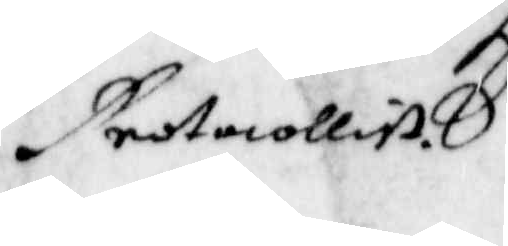Protocollist
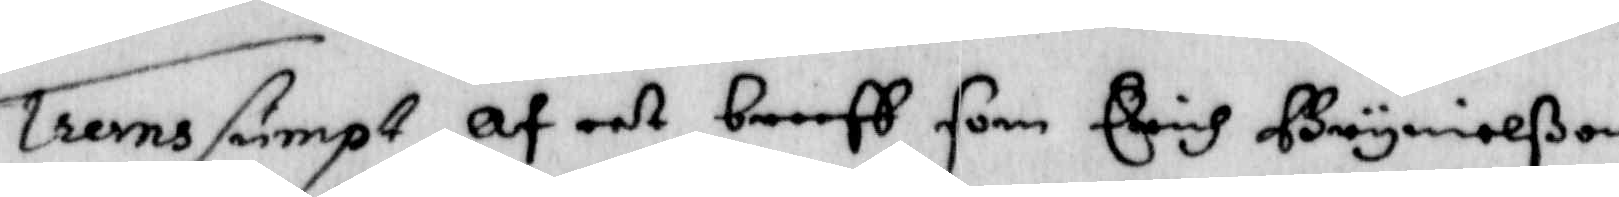Trans sumpt af eet breeff som Erich Brynielßon
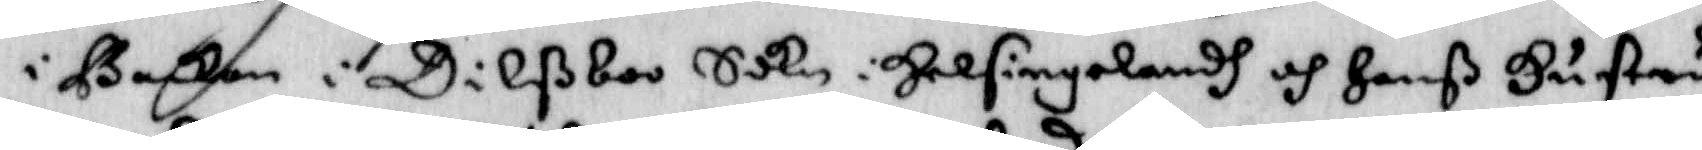i Backen i Dilßboo Sokn i Helsingelandh och Hanß Hustru
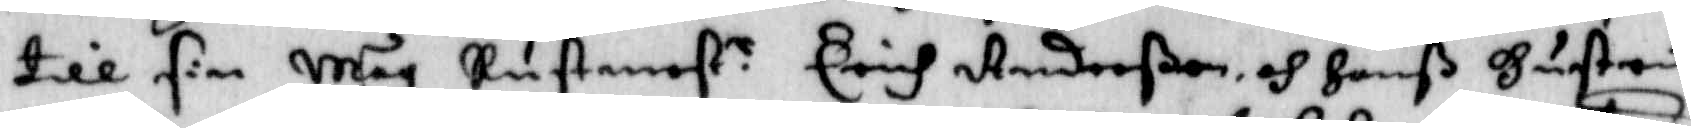till sin Måg Rustmest.r Erich Anderßon och Hanß Hustru
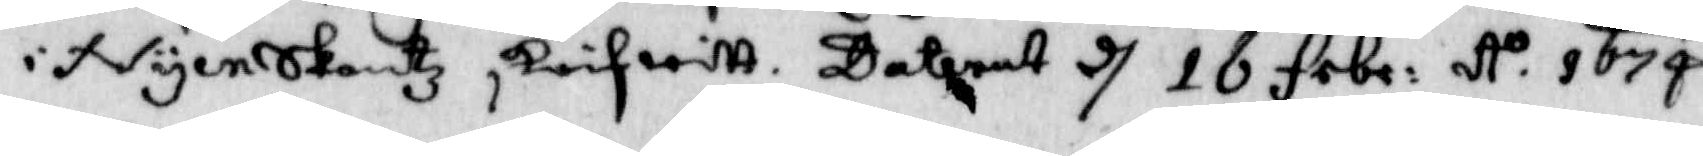i NyenSkantz skrifwitt. Daterat d 16 febr: A.o 1674.
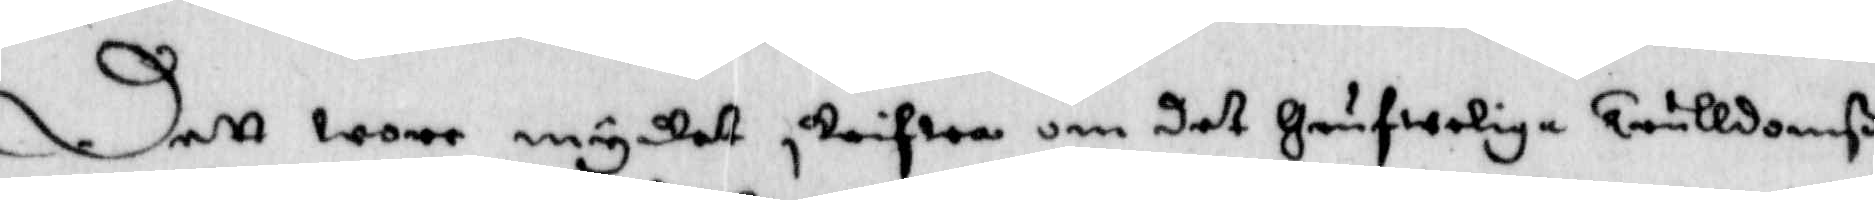Dett wore mycket skrifwa om det Grufweliga Trulldomß¬
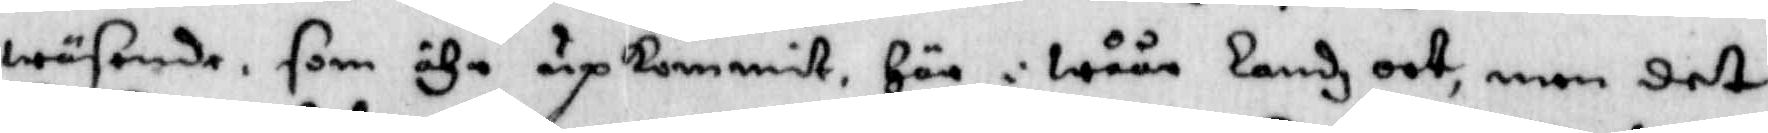wäsende som ähr upkommit Här i wåår Landz ort, men det
